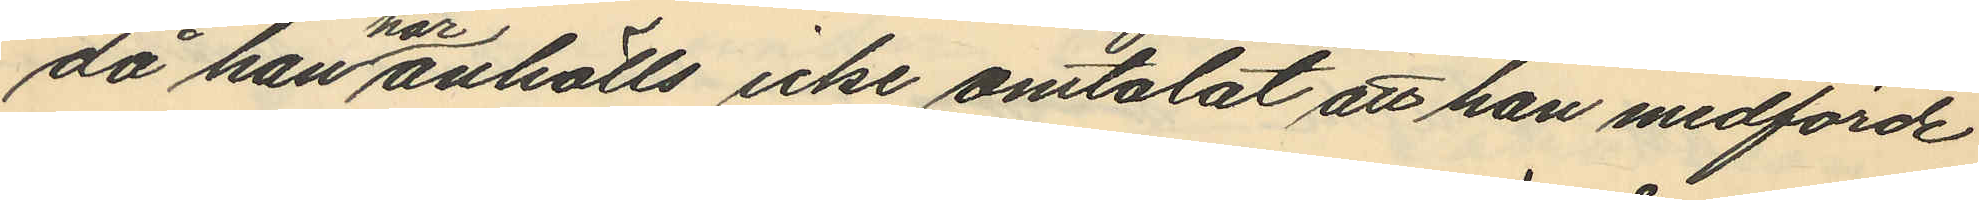då han här anhölls icke omtalat att han medförde
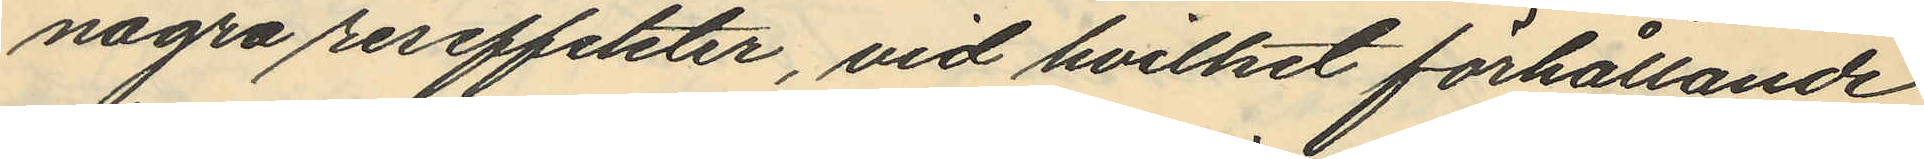några reseffekter, vid hvilket förhållande
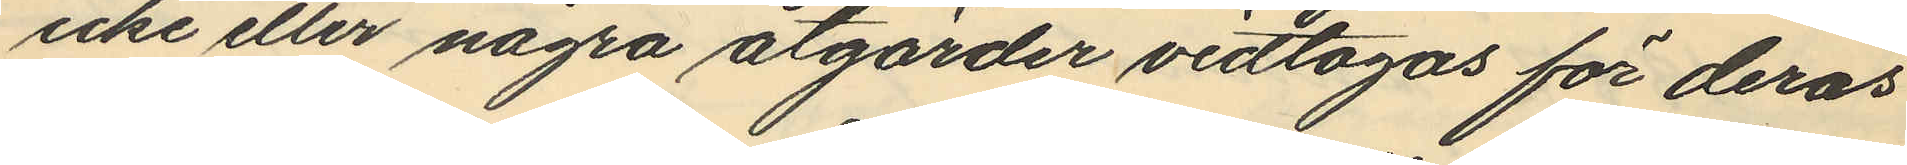icke eller några åtgärder vidtagas för deras
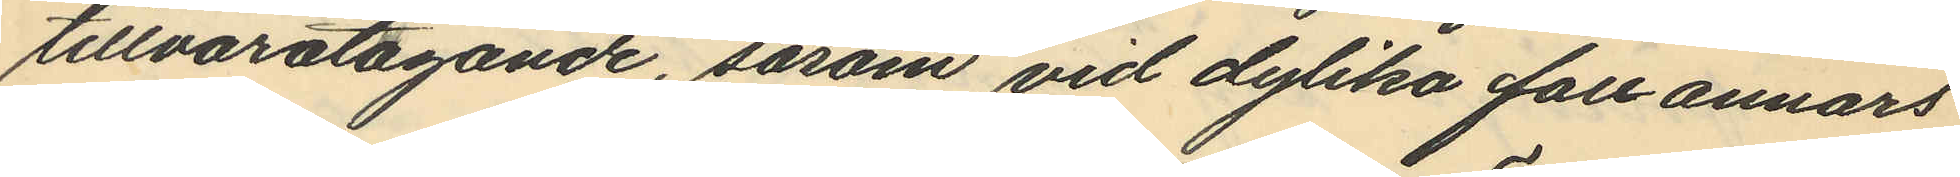tillvaratagande, såsom vid dylika fall annars
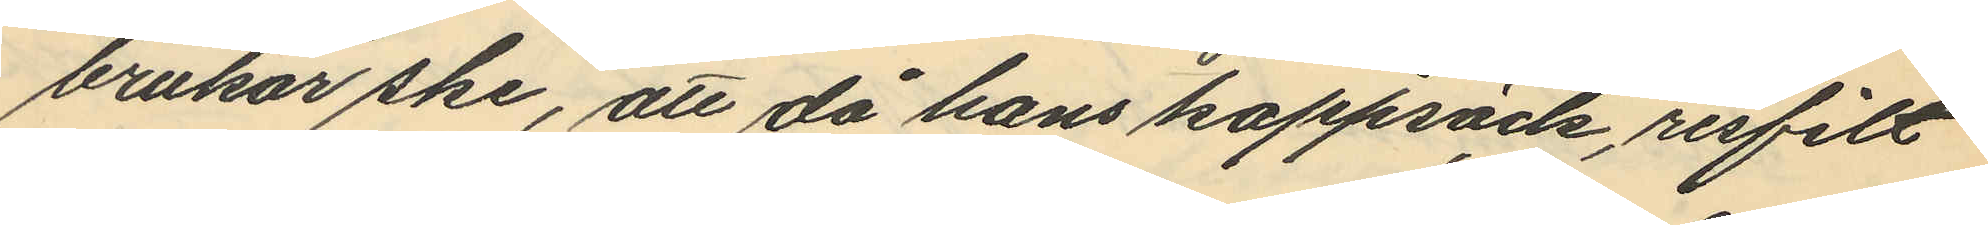brukar ske, att då hans kappsäck, resfilt
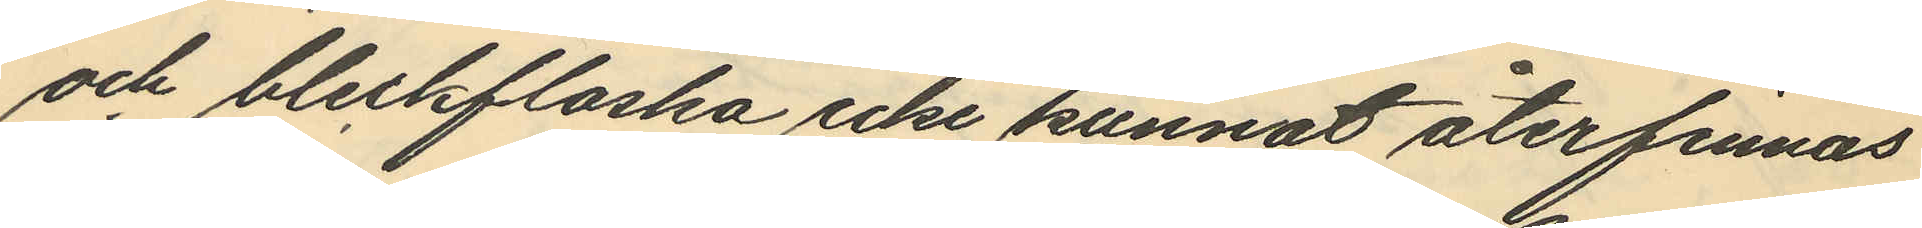och bleckflaska icke kunnat återfinnas
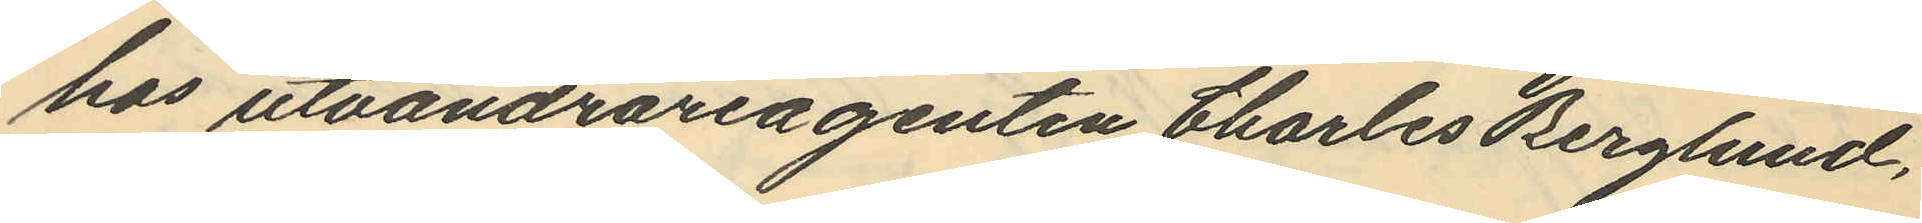hos utvandrareagenten Charles Berglund,
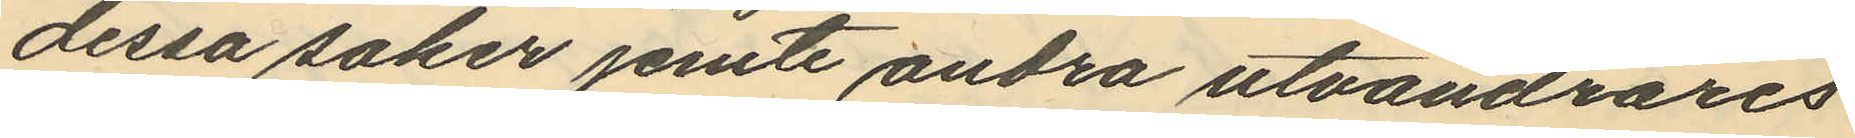dessa saker jemte andra utvandrares
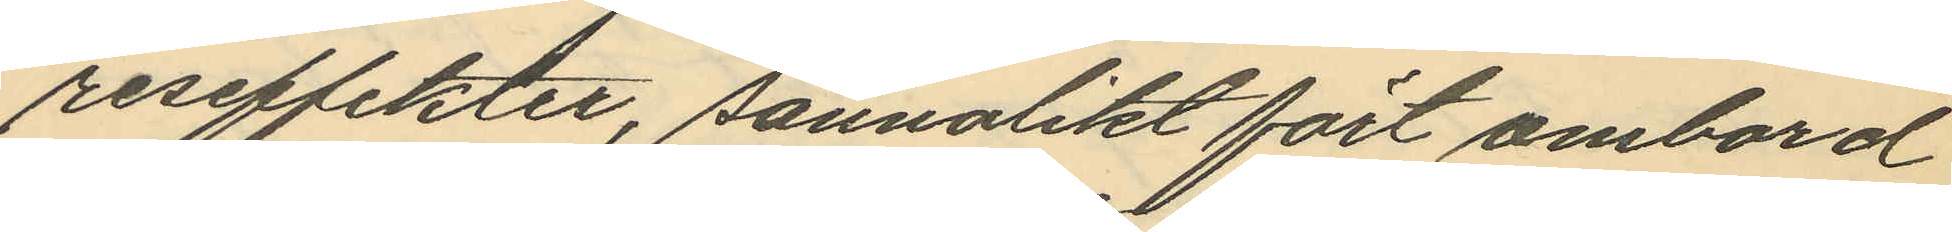reseffekter, sannolikt fört ombord
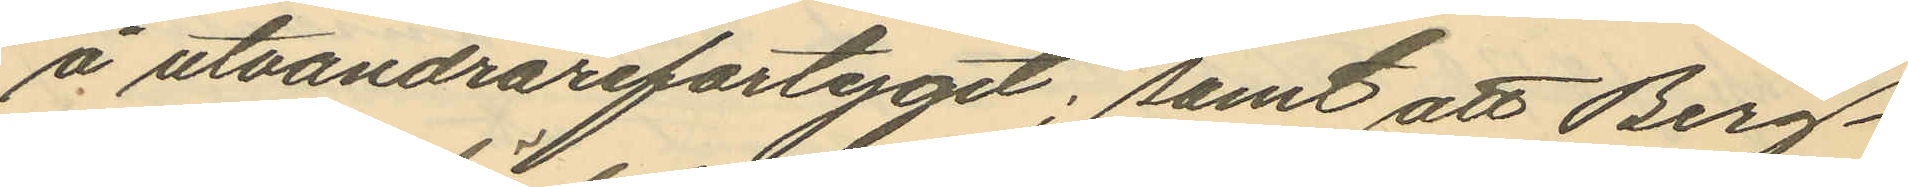å utvandrarefartyget; samt att Berg¬
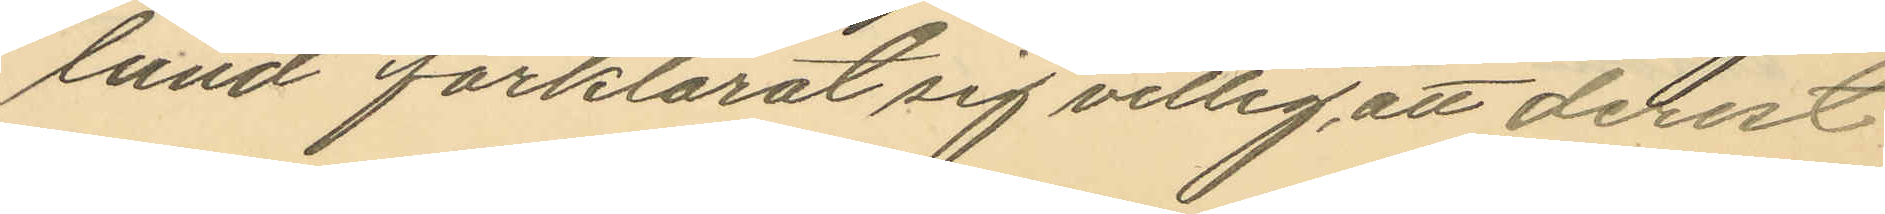lund förklarat sig villig att derest
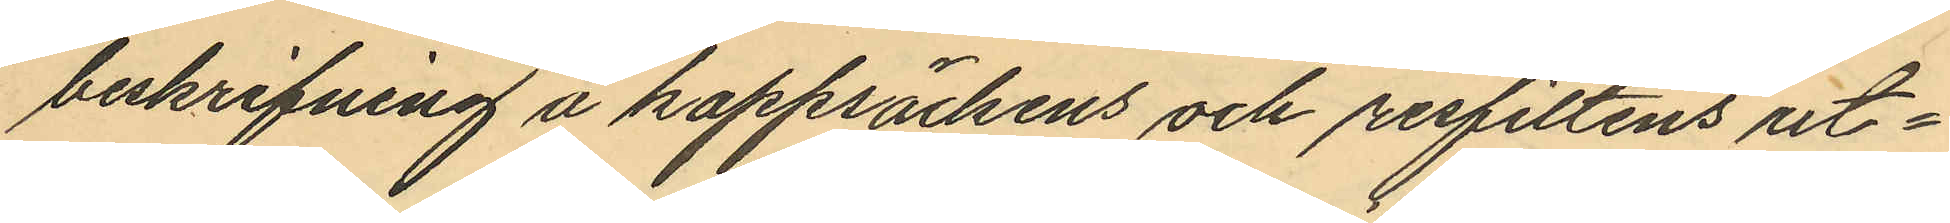beskrifning å kappsäckens och resfiltens ut¬
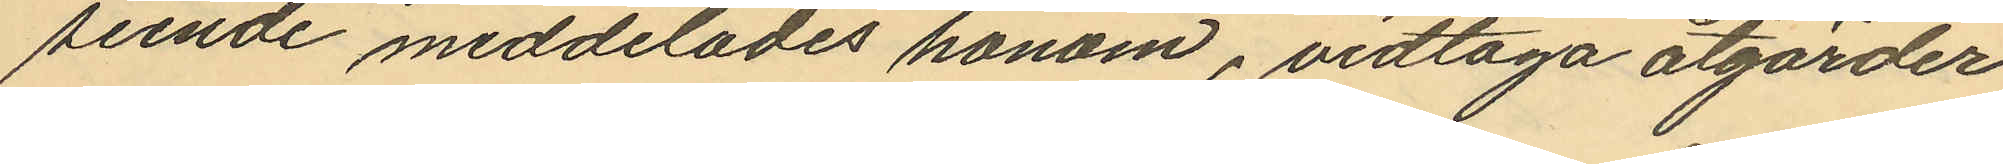seende meddelades honom, vidtaga åtgärder
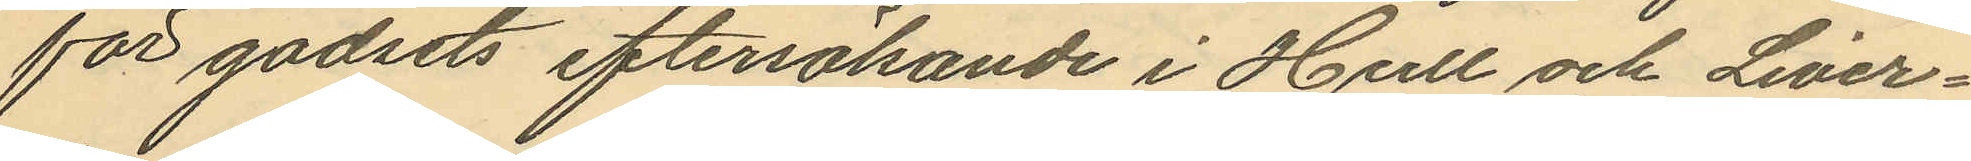för godsets eftersökande i Hull och Liver¬
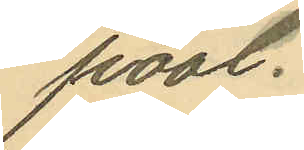pool.
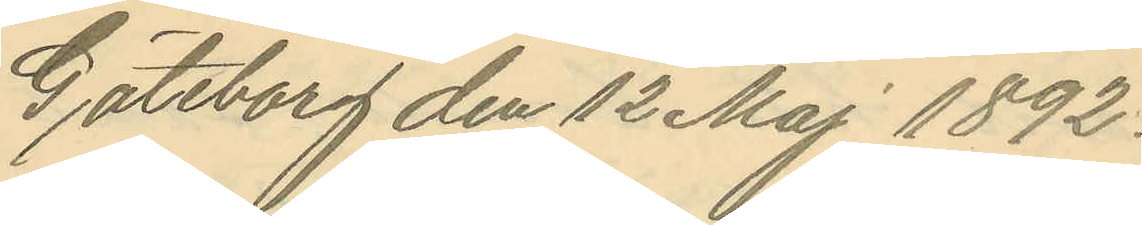Göteborg den 12 Maj 1892.
